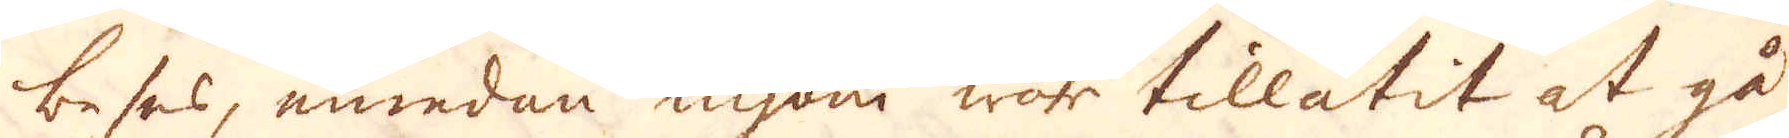beses, emedan ingom war tillåtit at gå
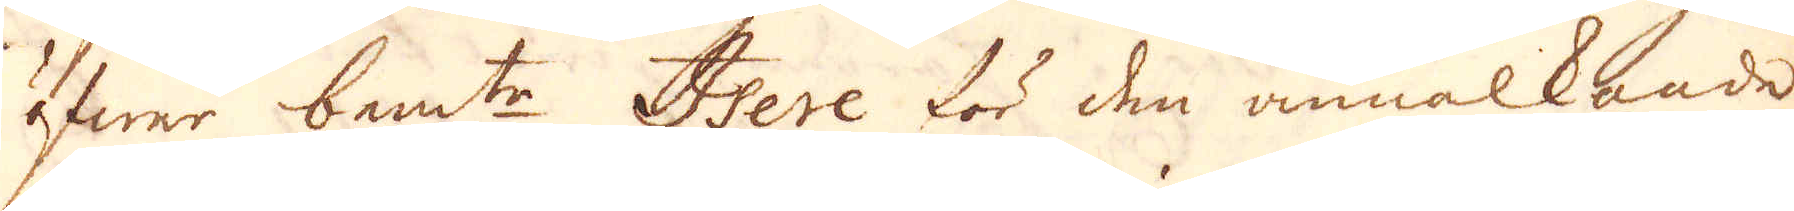öfwer bem:ta Isre för den annalkande
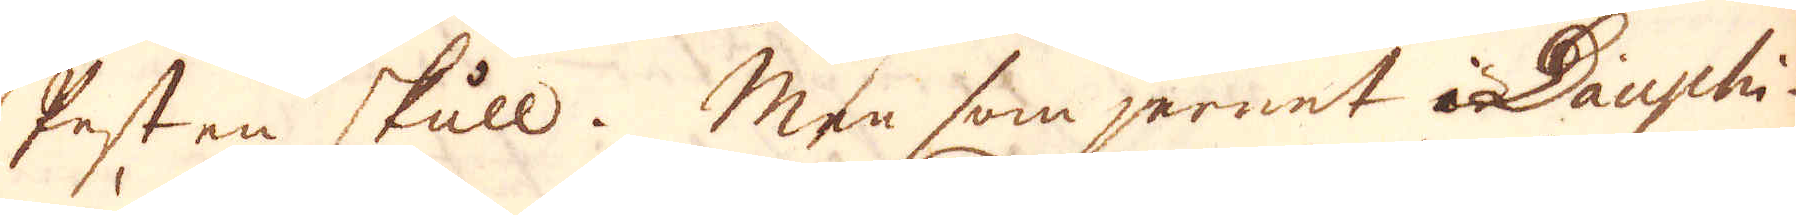Pesten skull. Men som jernet i Dauphi-
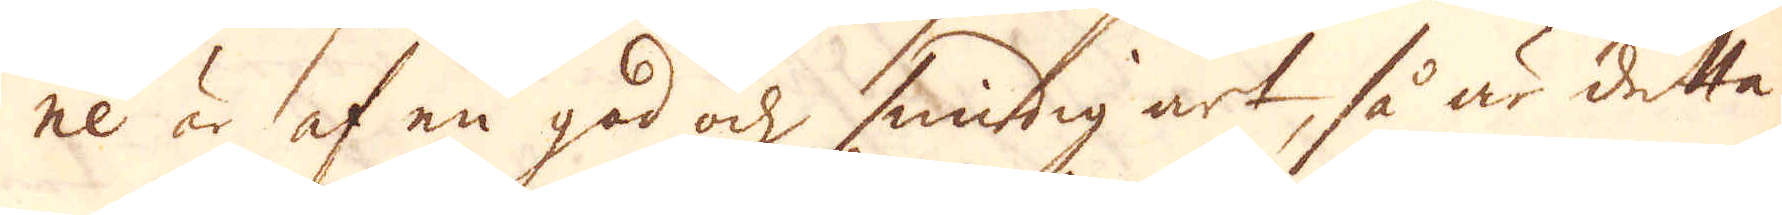ne är af en god och, smidig art, så är detta
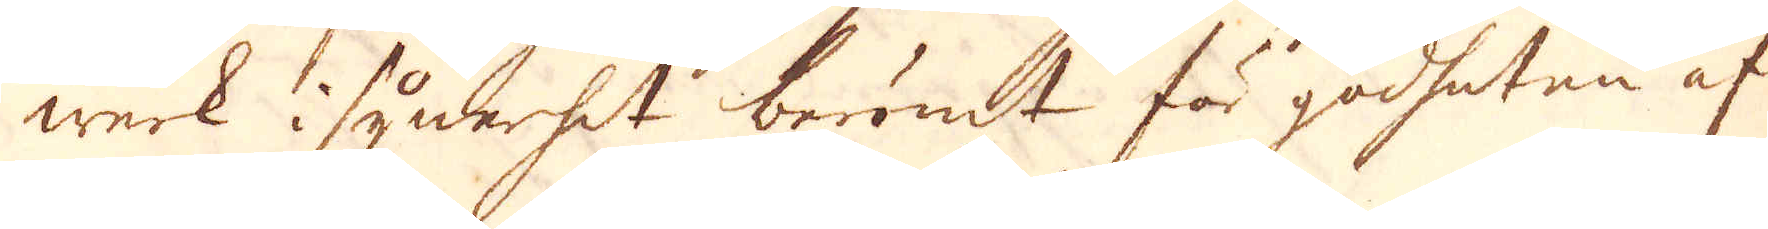werk i synnerhet berömt för godheten af
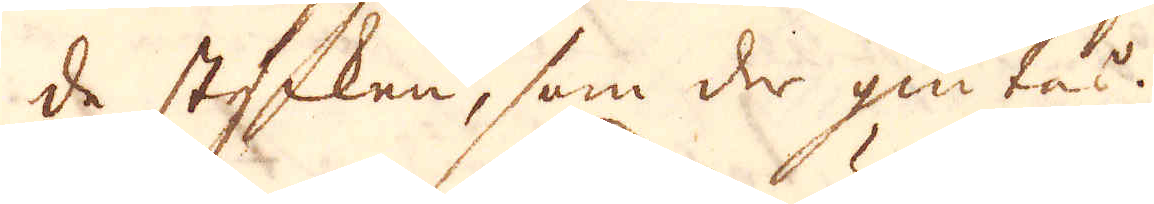de stycken, som der giutas.
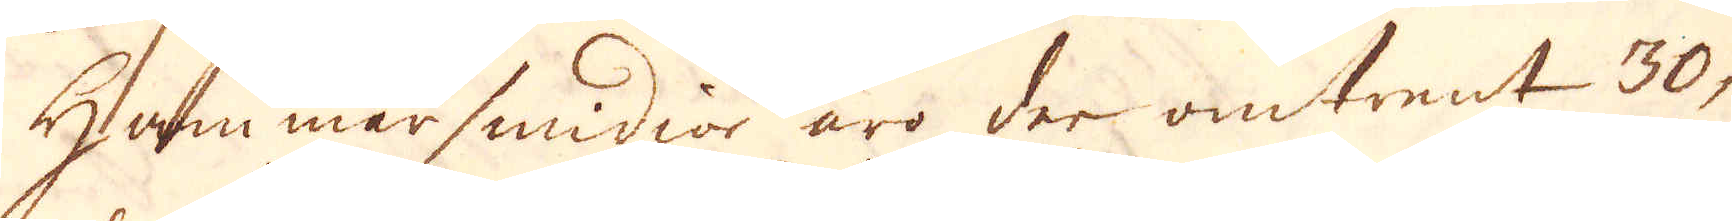Hammarsmidior äro der omtrent 30,
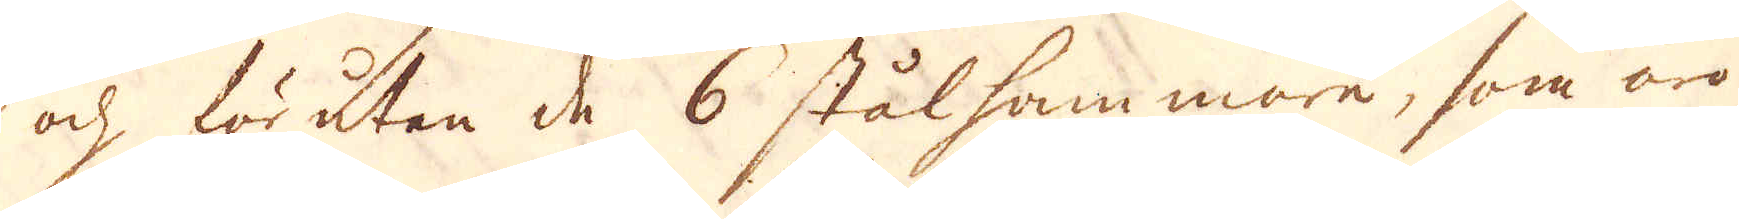och förutan de 6 stålhammare, som äro
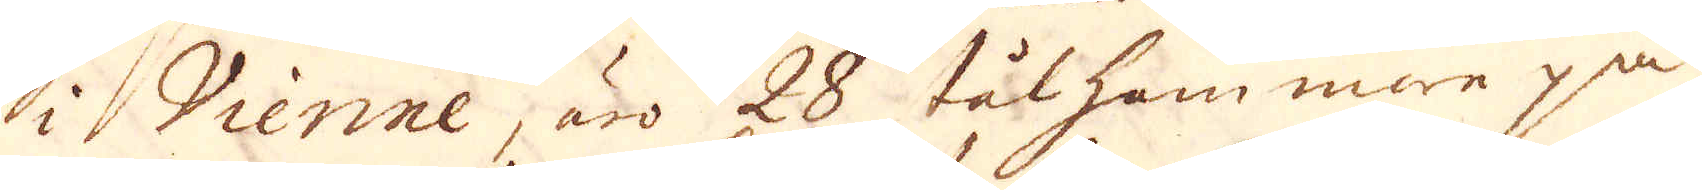i Vienne, äro 28 stålhammare på
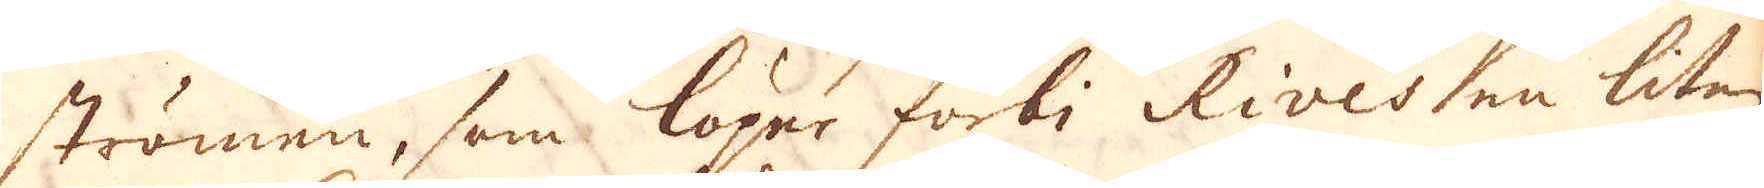strömen, som löper förbi Rives en liten
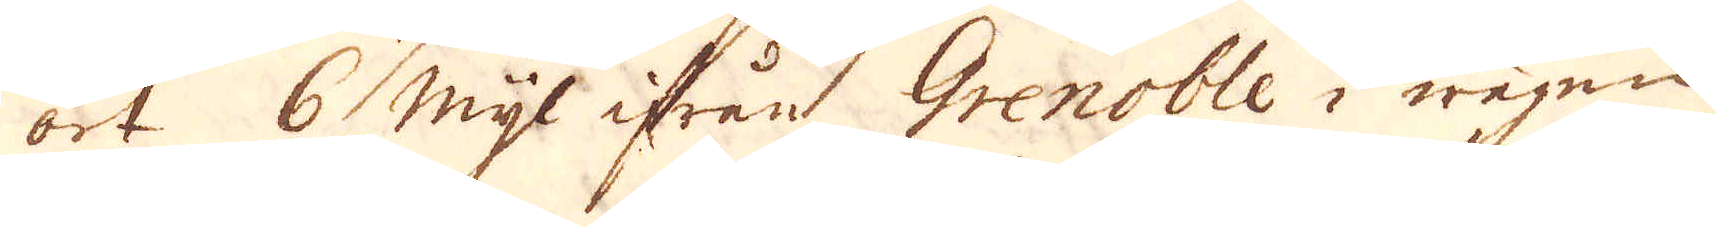ort 6 mijl ifrån Gronoble i wägen
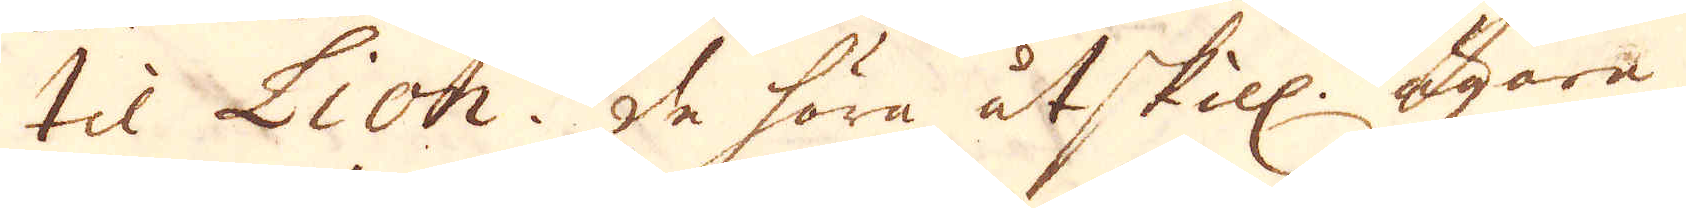til Lion. De före åtskill. ägare
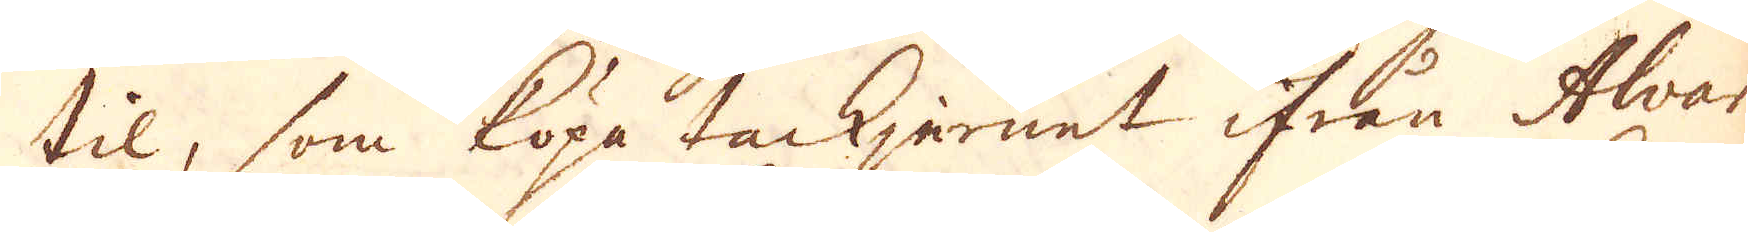til, som köpa tackjernet ifrån Alvar
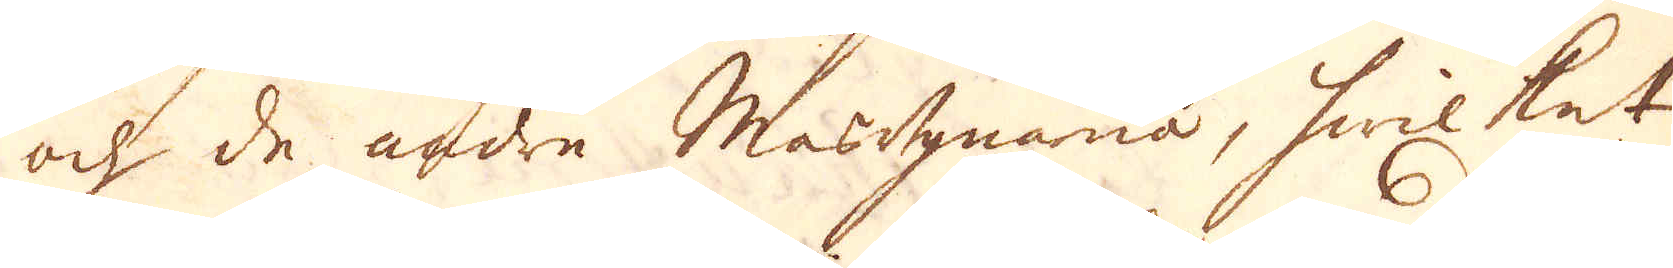och de andra Masugnarna, hwilket
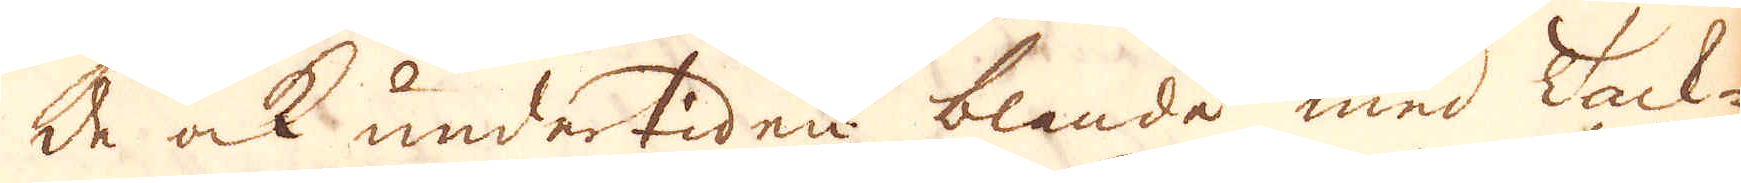de ock undertiden blande med Tack-
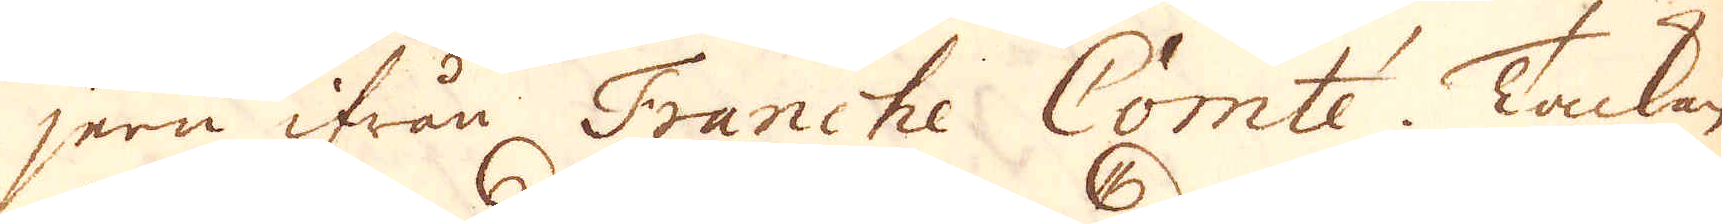jern ifrån Franche Comté. Tackan
